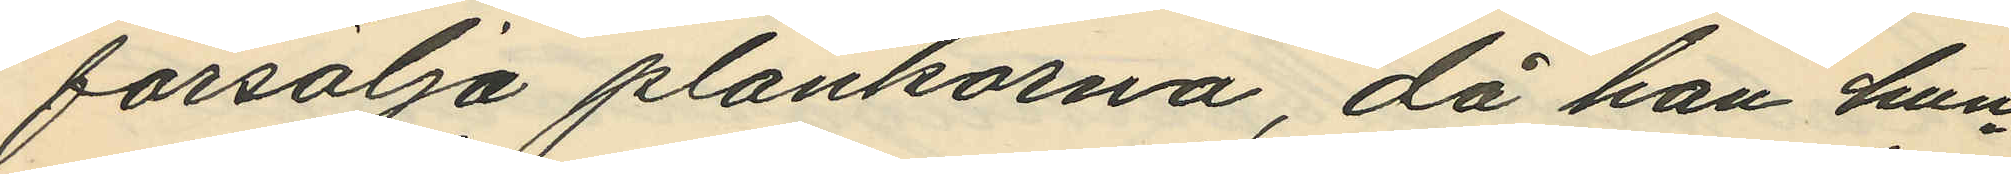försälja plankorna, då han hun¬
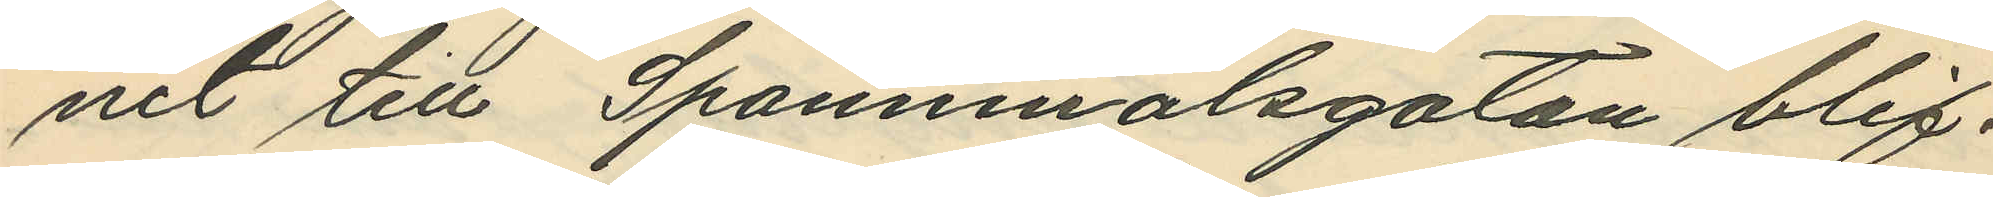nit till Spannmålsgatan blif¬
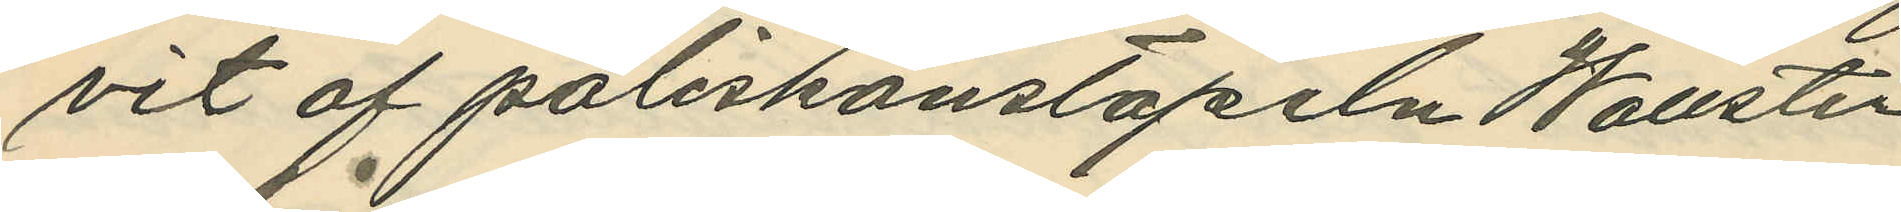vit af poliskonstapeln Wallsten
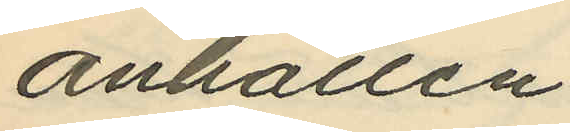anhållen.
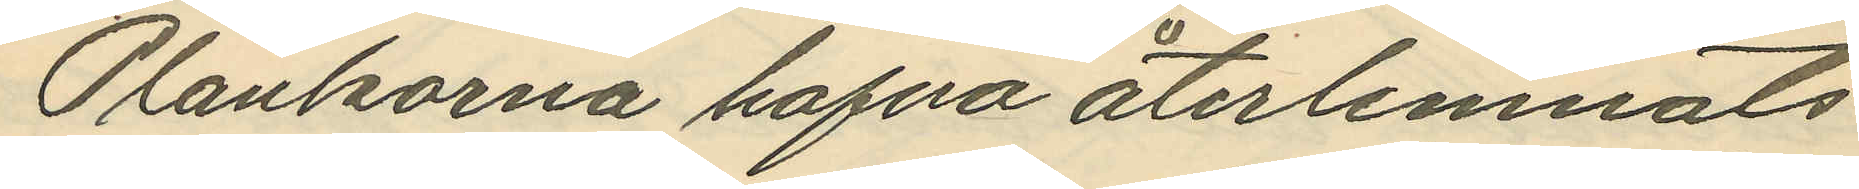Plankorna hafva återlemnats
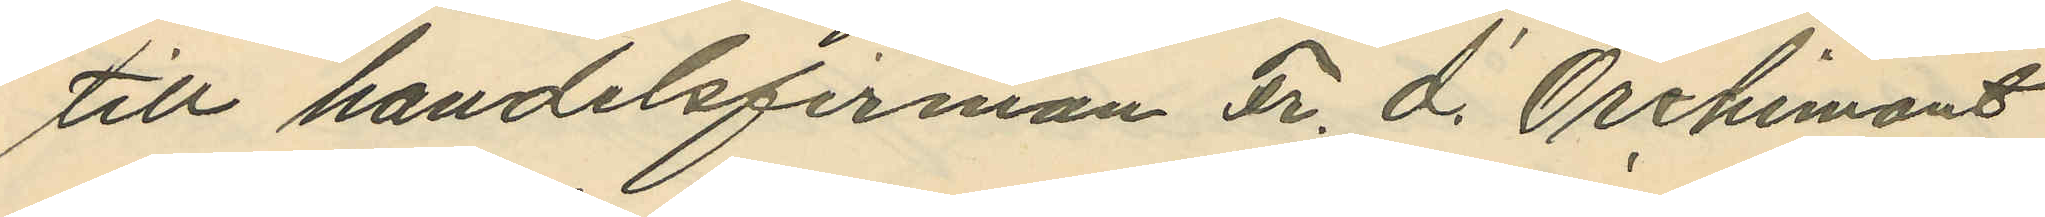till handelsfirman Fr. d.' Orchimont
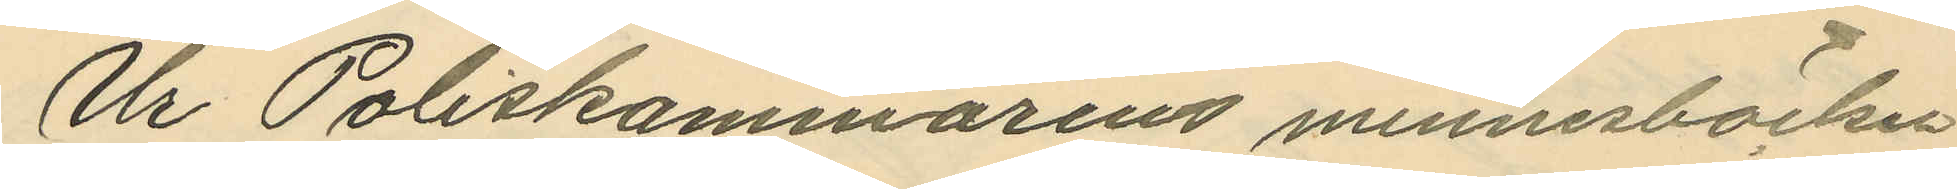Ur Poliskammarens minnesböcker
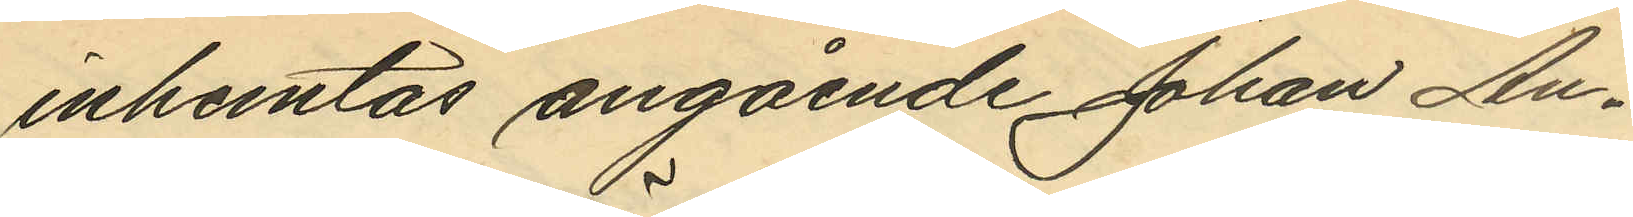inhemtas angående Johan An¬
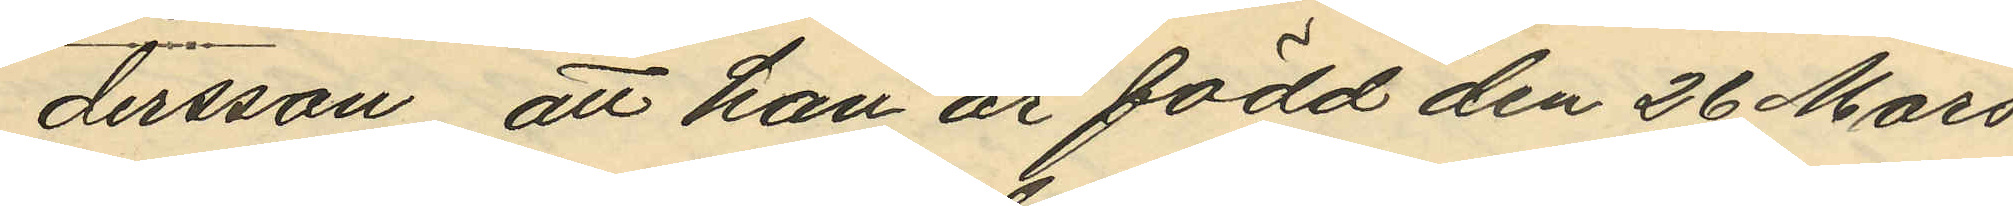dersson, att han är född den 26 Mars
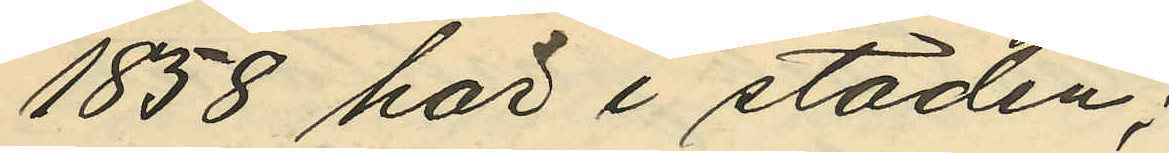1858 här i staden;
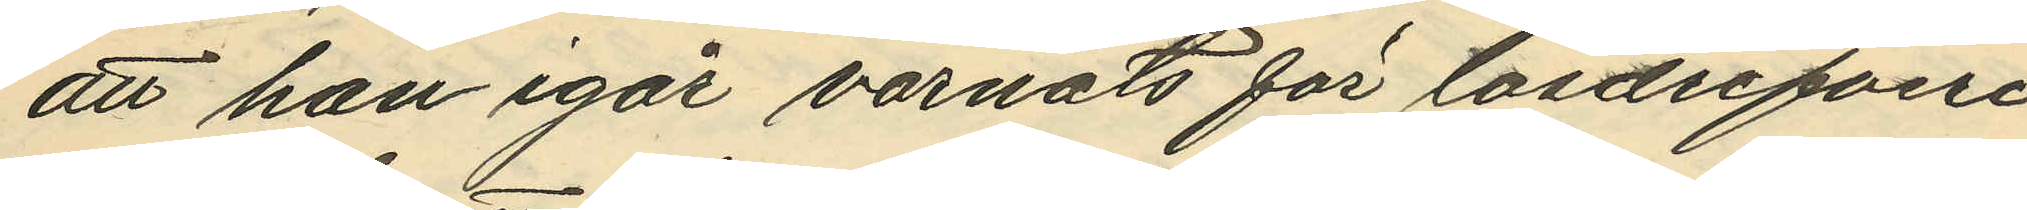att han igår varnats för lösdrifveri
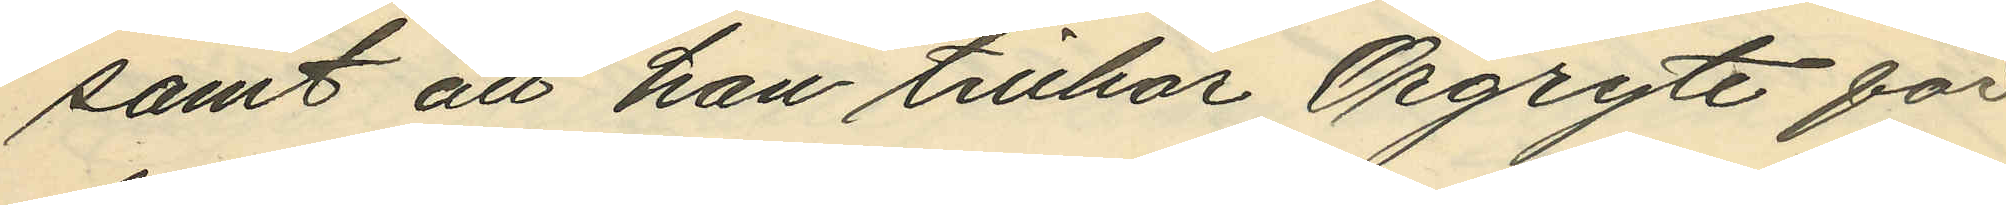samt att han tillhör Örgryte för¬
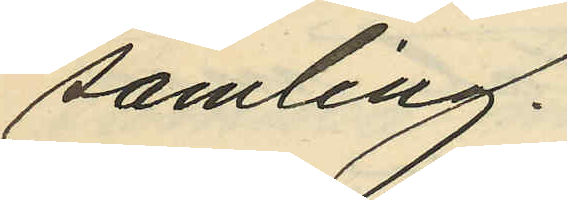samling.
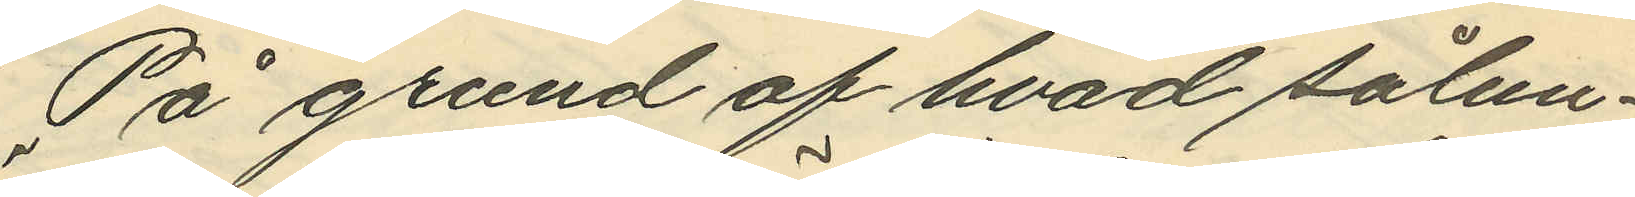På grund af hvad sålun¬
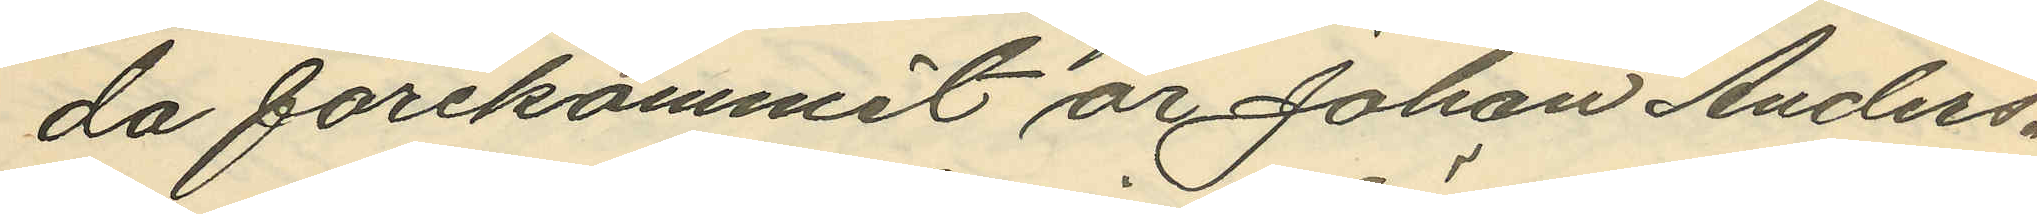da förekommit är Johan Anders¬
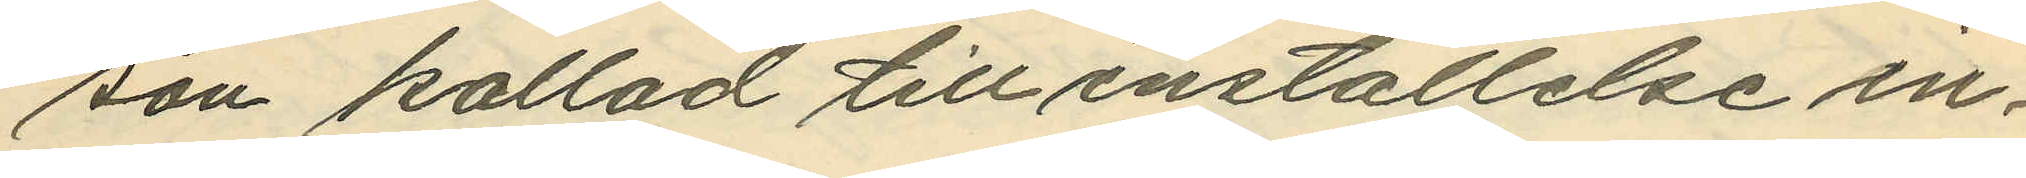son kallad till inställelse in¬
